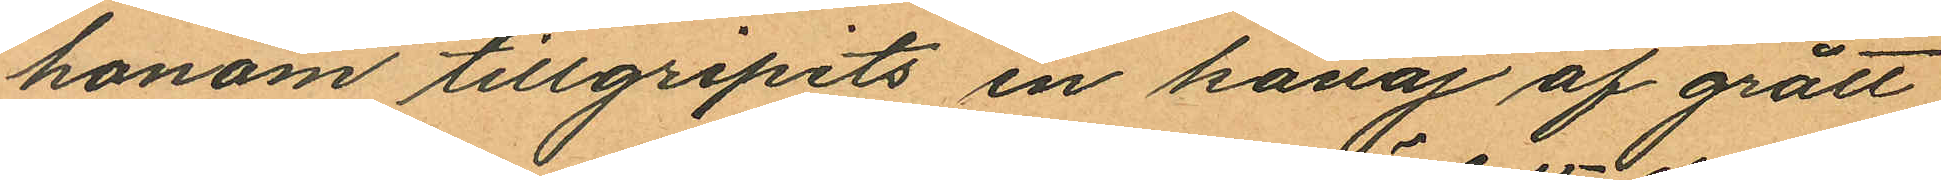honom tillgripits en kavaj af grått
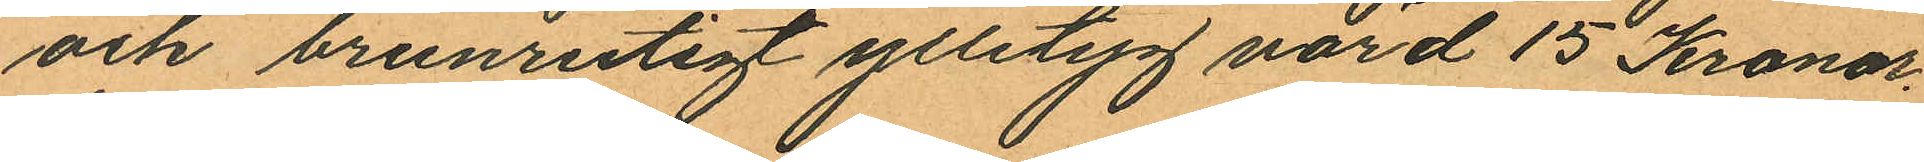och brunrutigt ylletyg värd 15 Kronor
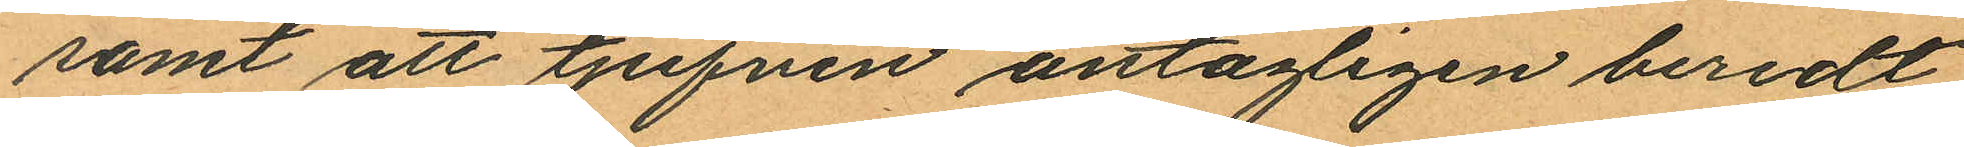samt att tjufven antagligen beredt
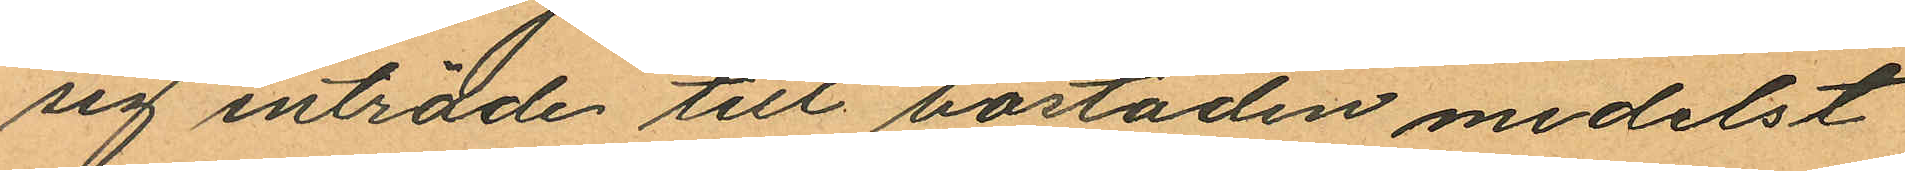sig inträde till bostaden medelst
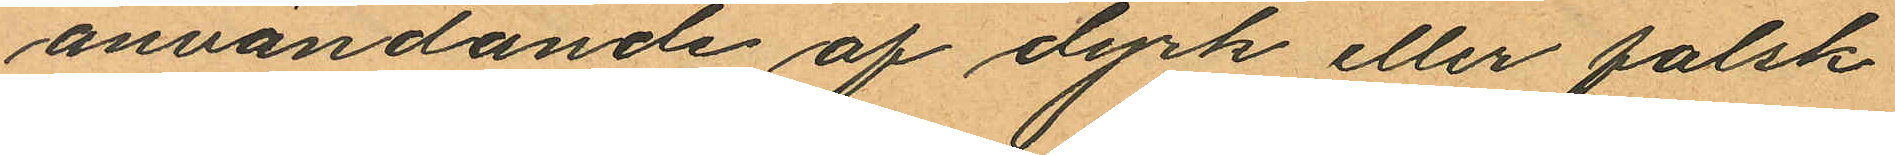användande af dyrk eller falsk
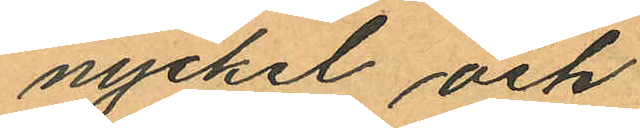nyckel och
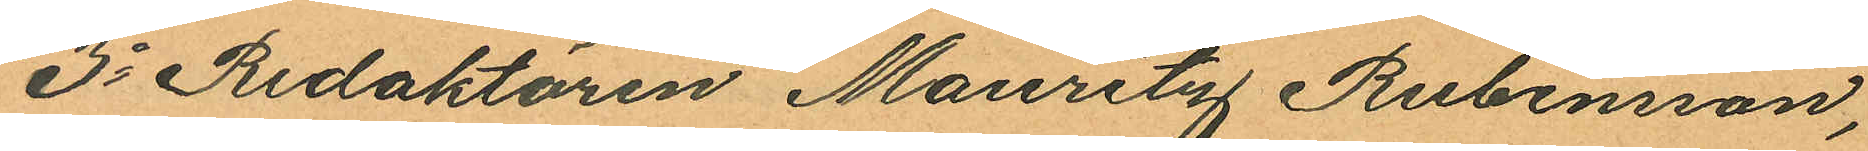3o Redaktören Mauritz Rubensson,
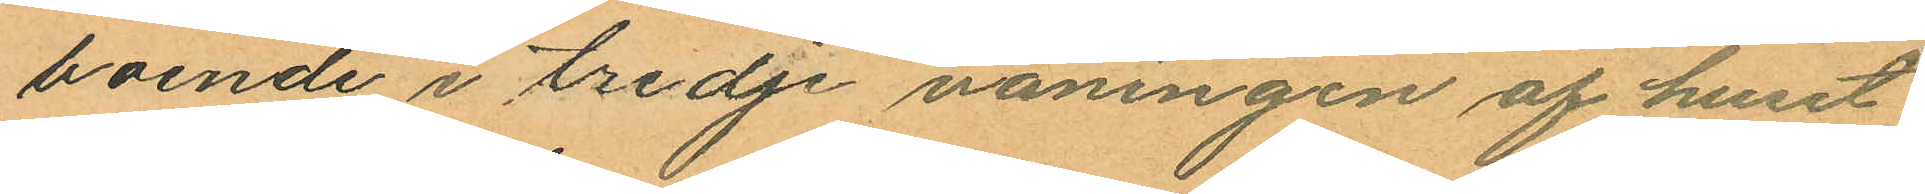boende i tredje våningen af huset
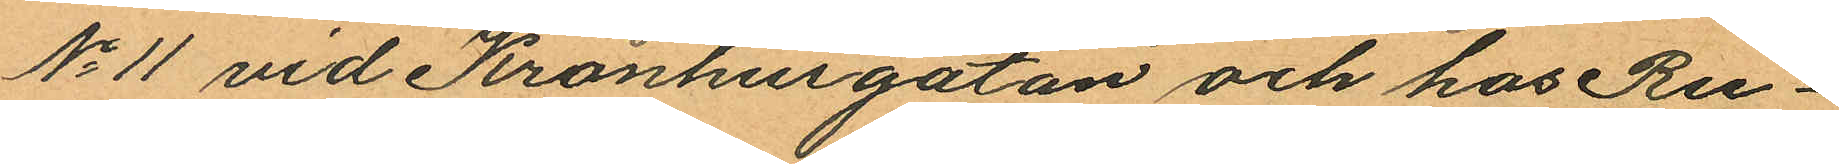No 11 vid Kronhusgatan och hos Ru¬
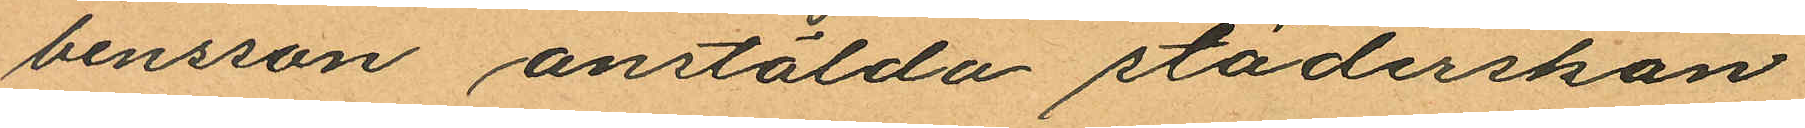bensson anstälda städerskan
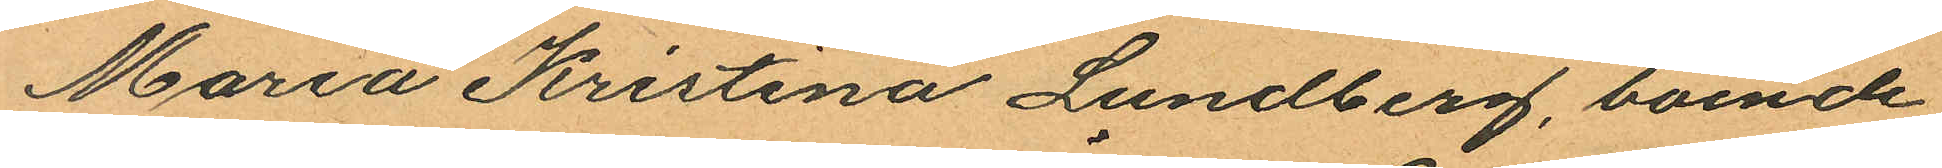Maria Kristina Lundberg, boende
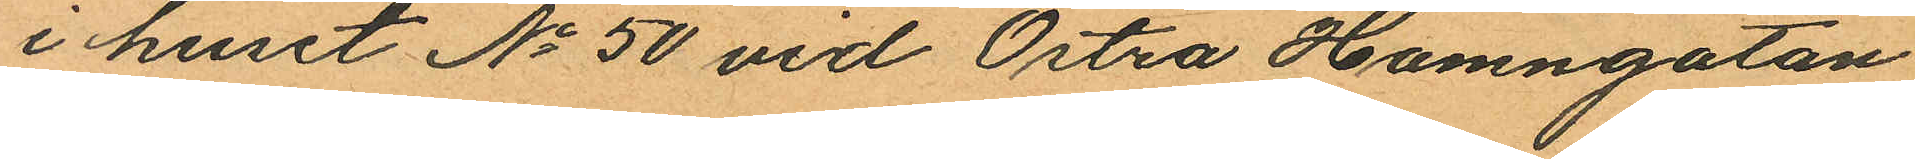i huset No 50 vid Östra Hamngatan
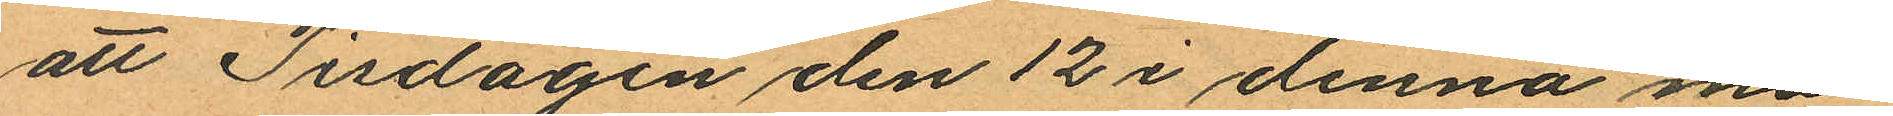att Tisdagen den 12 i denna må¬
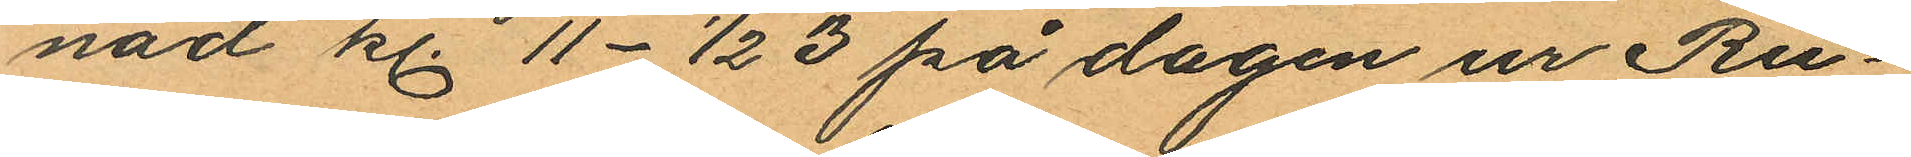nad kl. 11- ½ 3 på dagen ur Ru¬
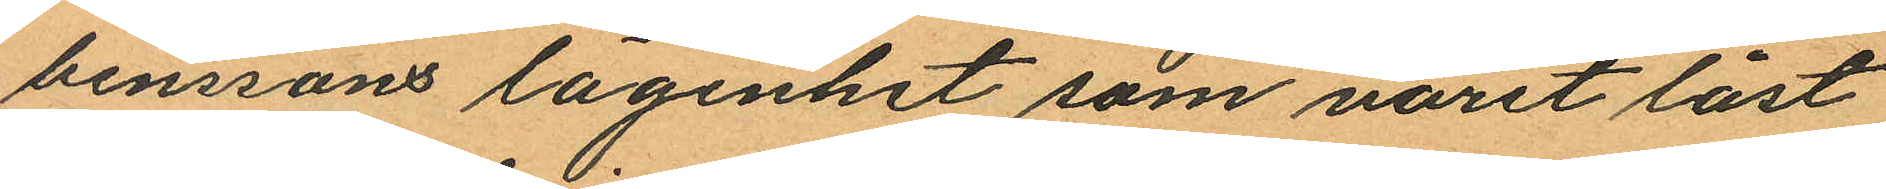benssons lägenhet som varit låst
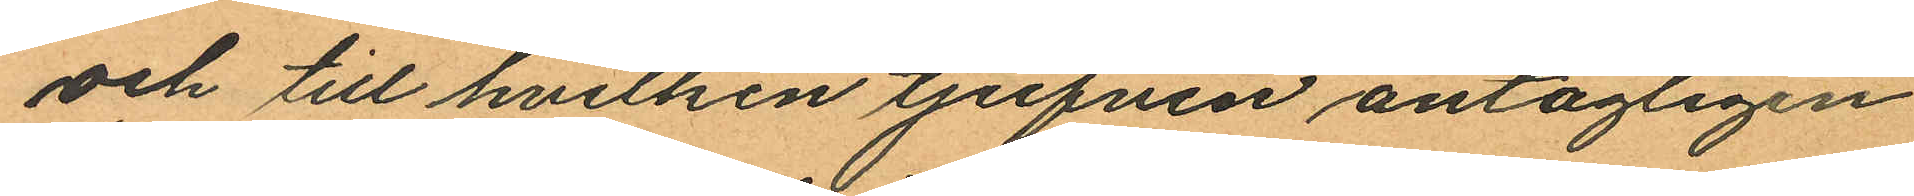och till hvilken tjufven antagligen
